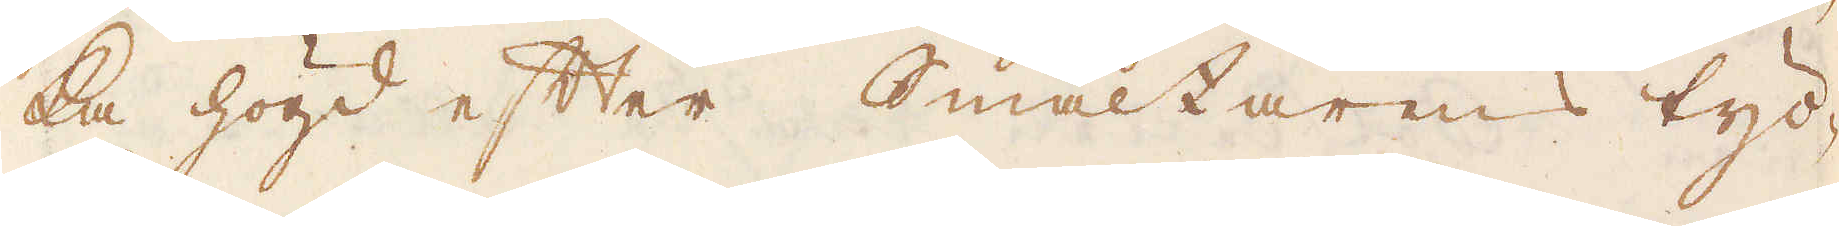ka högd efter Smältarens tyc-
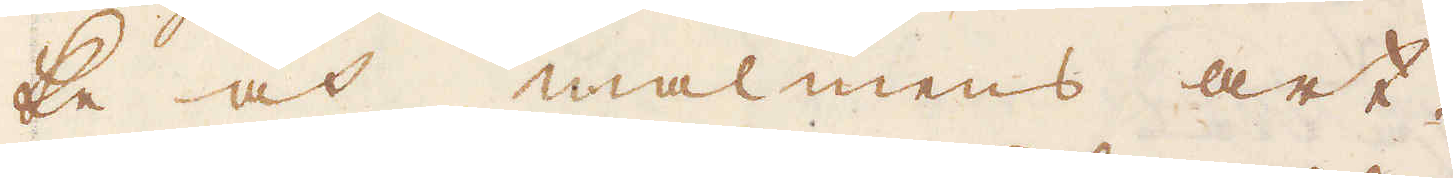ke och malmens art.
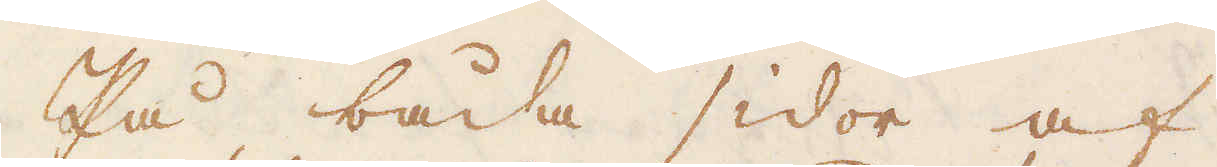På båda sidor af
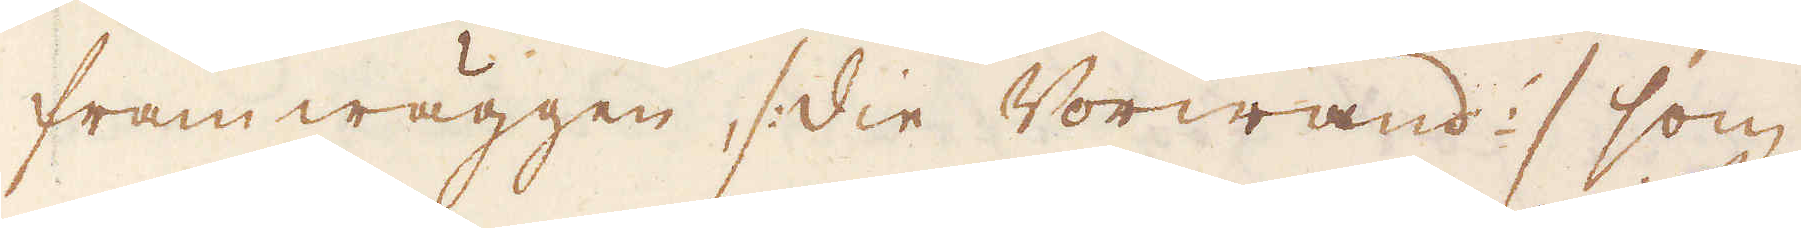framwäggen, /: die Vorwand :/ som
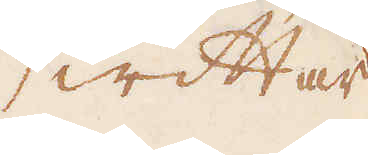wittar
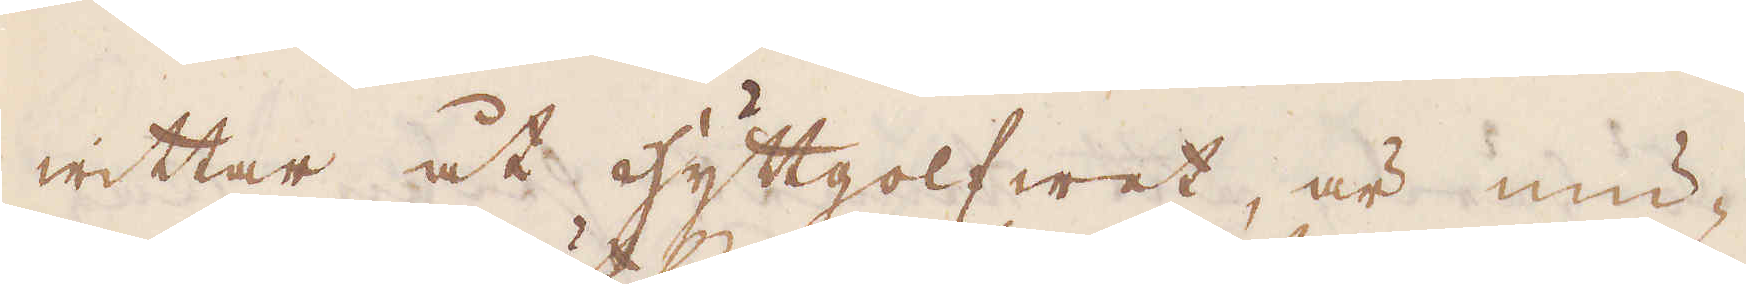wittar åt hyttgolfwet, är mu-
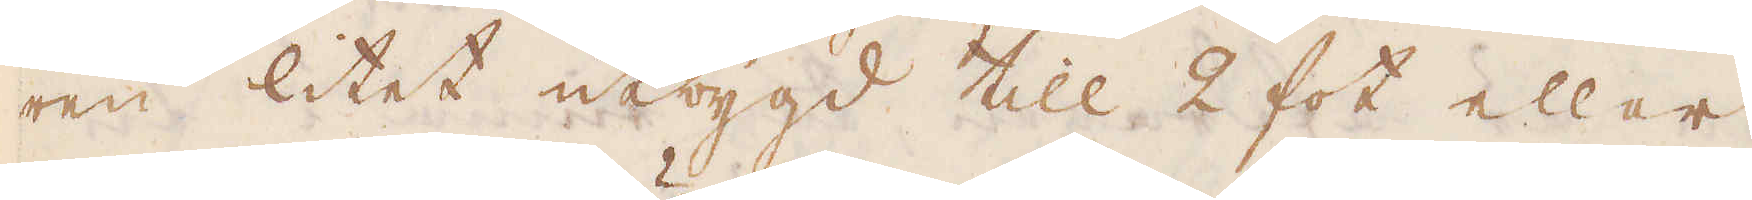ren litet utbygd till 2 fot eller
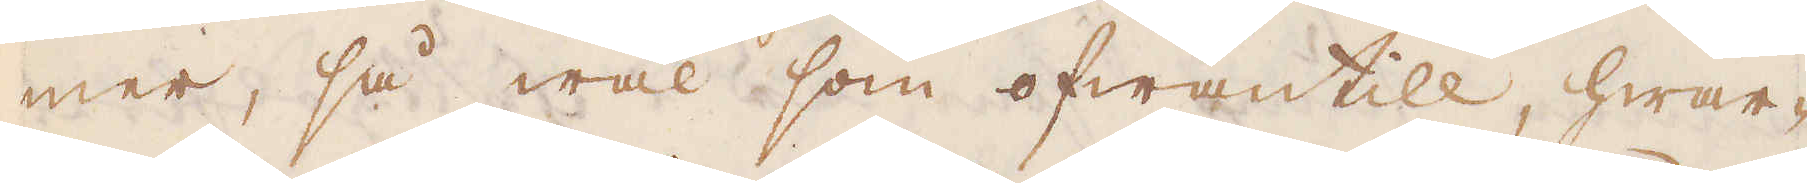mer, så wäl som ofwantill, hwar-
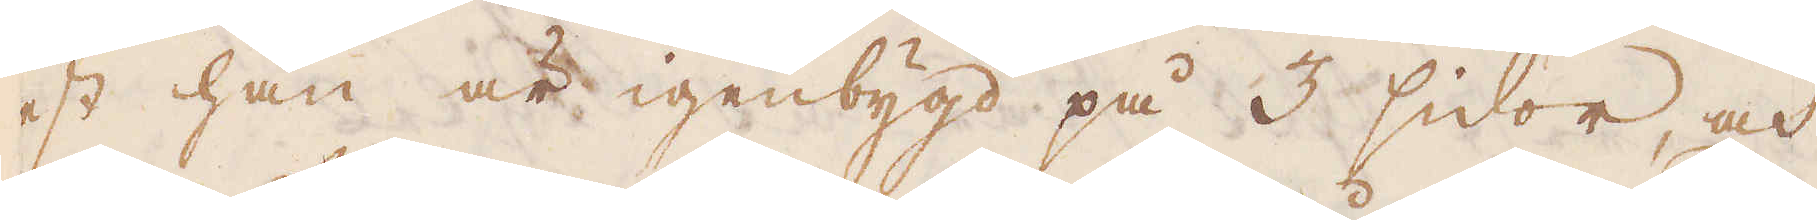est han är igenbygd på 3 sidor, och
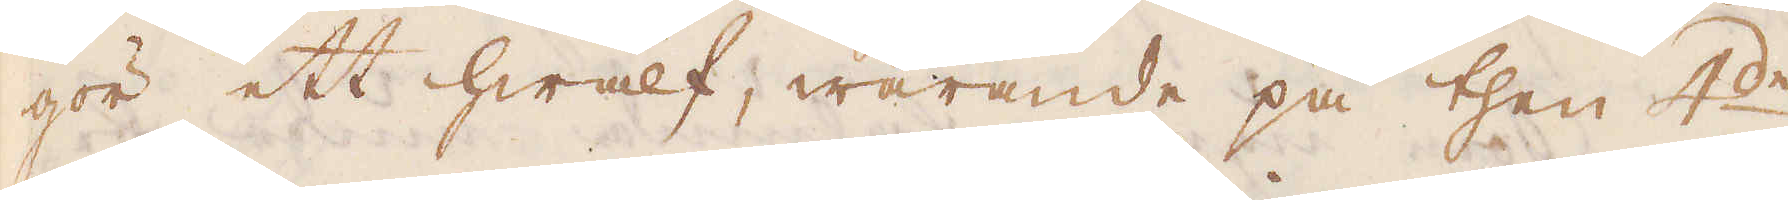gör ett hwalf, warande på then 4:de
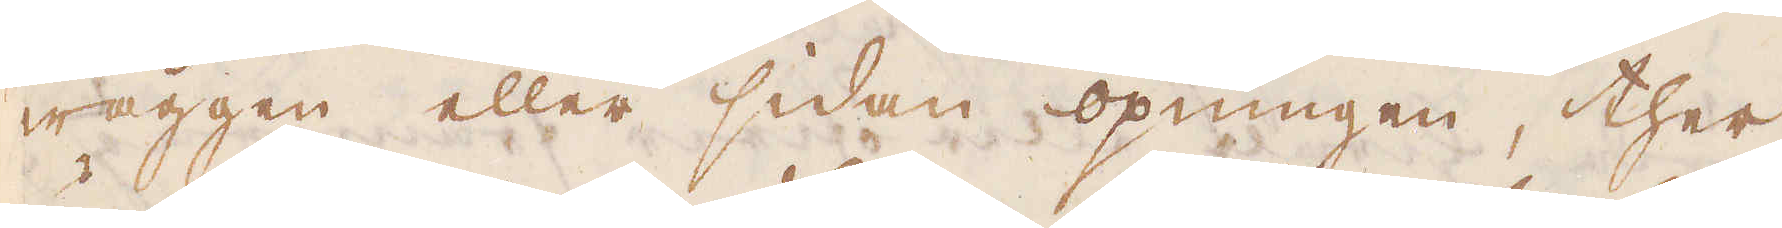wäggen eller sidan öpningen, ther
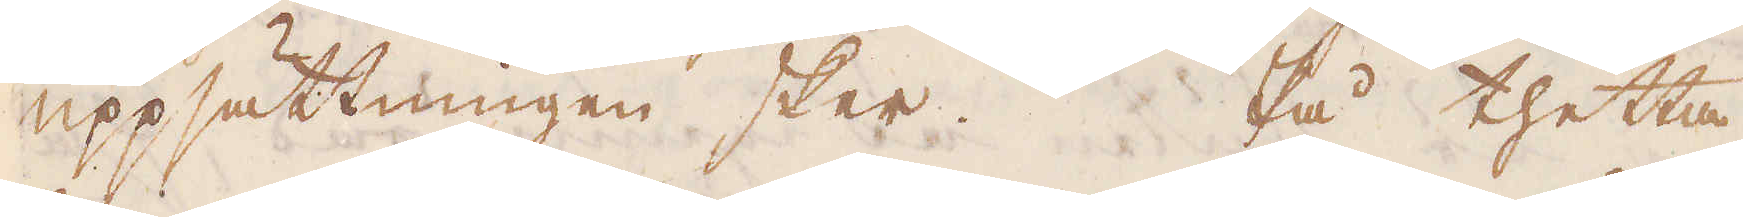uppsättningen sker. På thetta
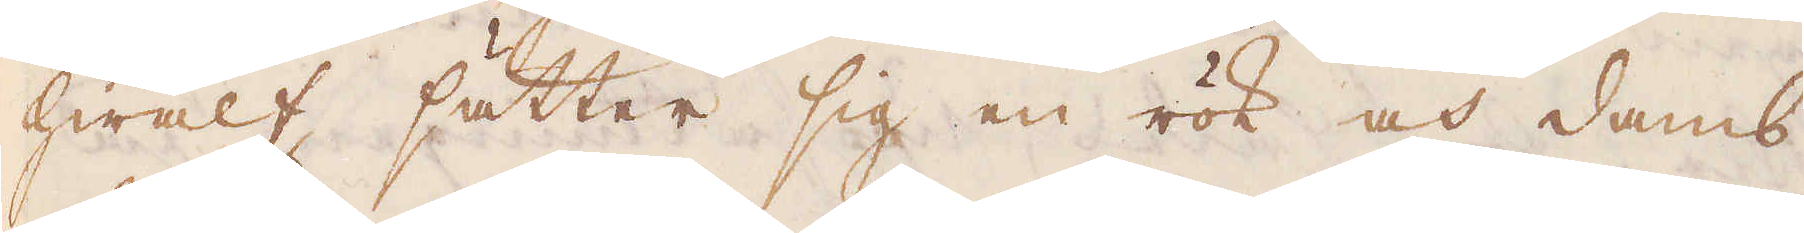hwalf sätter sig en rök och damb
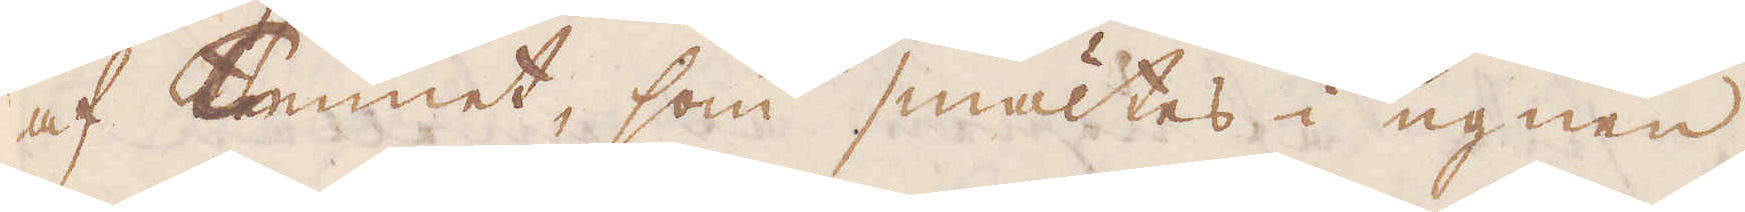af Tennet, som smältes i ugnen,
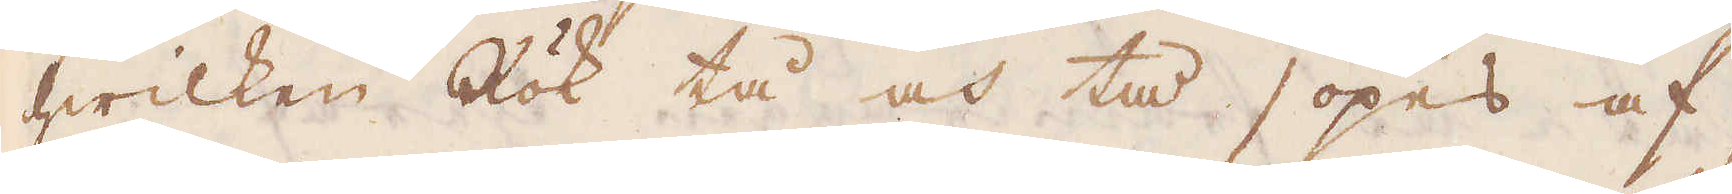hwilken Rök tå och tå sopes af,
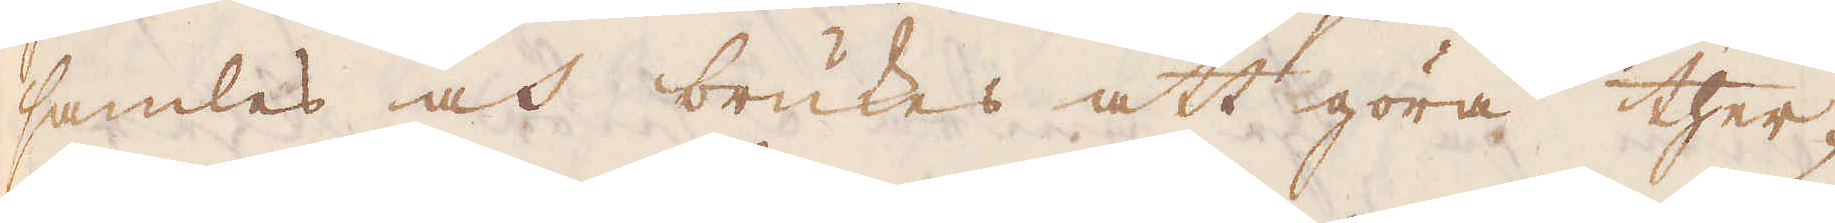samles och brukes att göra ther-
